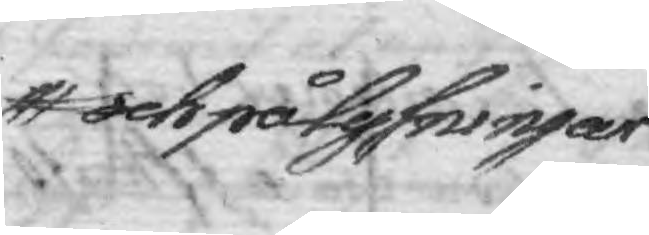och pålysningar
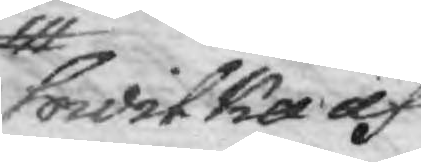hwilka af
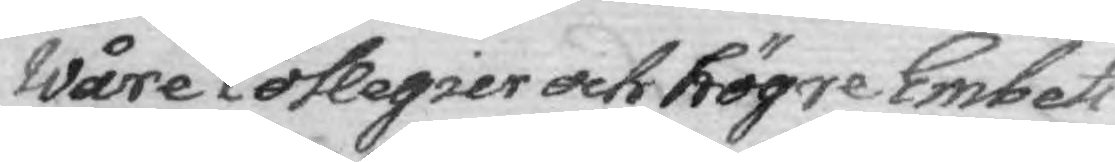Wåre Collegier och högre Embets¬
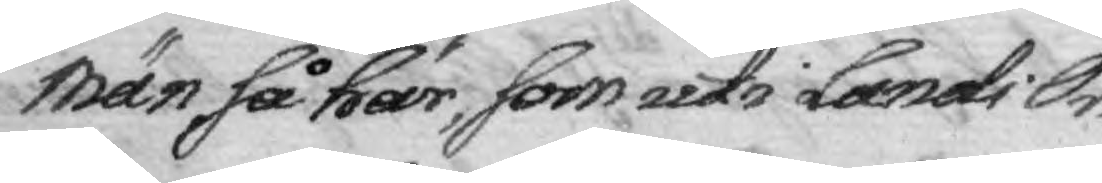män så här, som uti Lands Or¬
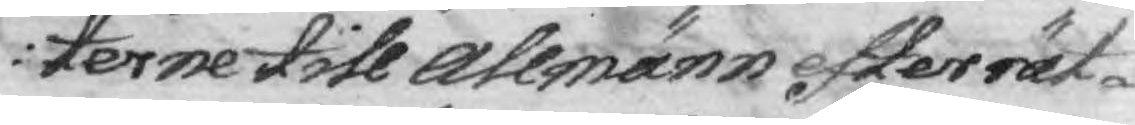terne till Allmänn efterrät¬
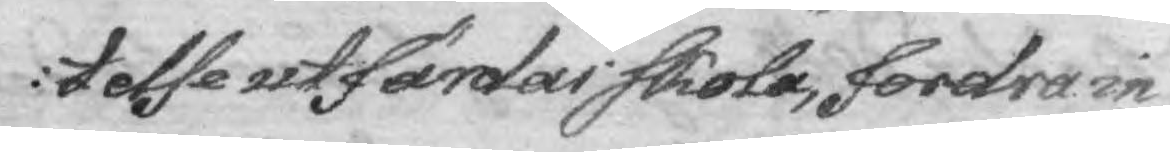telse utfärdas skola, fordra in¬
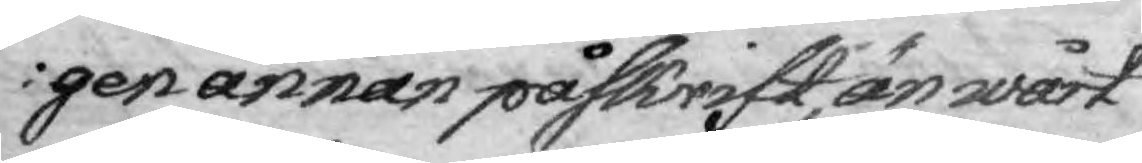gen annan påskrift, än wårt
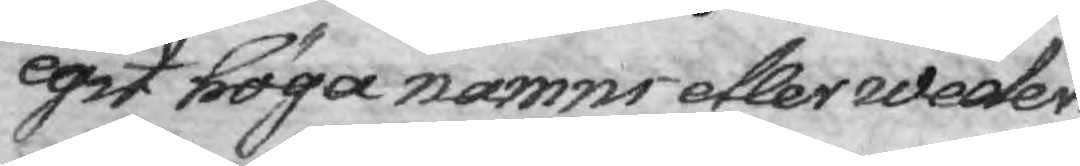egit höga namns etler weder¬
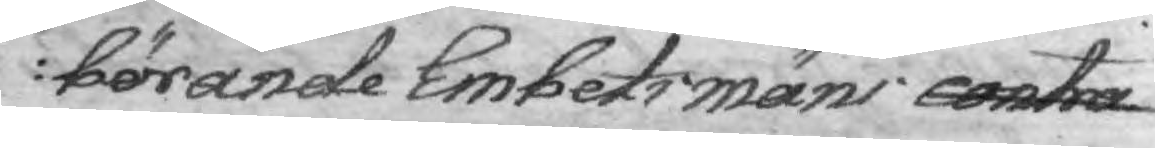börande Embetsmäns contra¬
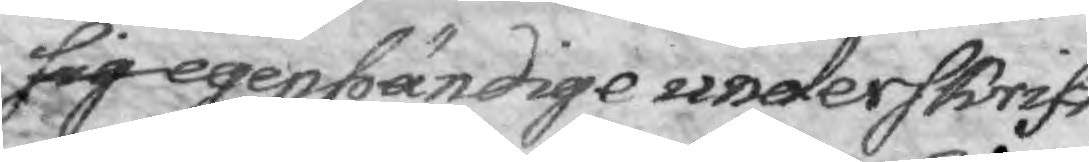sig egenhändige underskrift
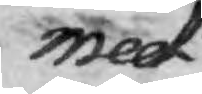med
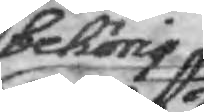behörig
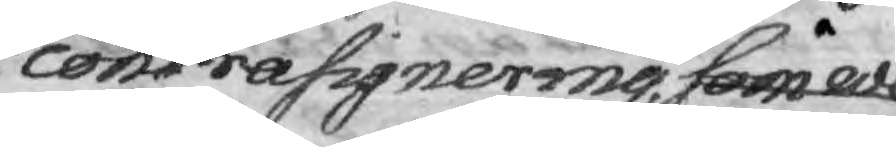contrasignering som we¬
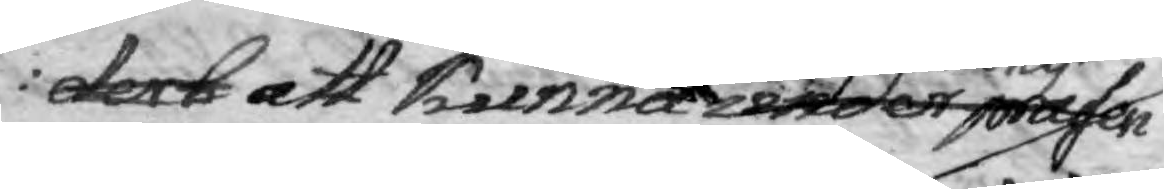derb att kunna under presen
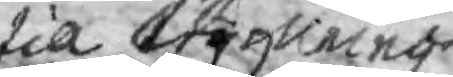lia wing
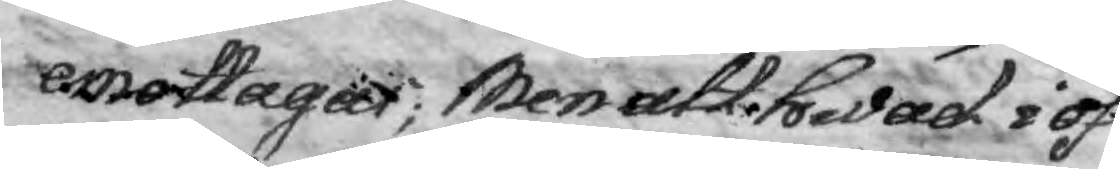emottagas; Men att hwad i öf¬
